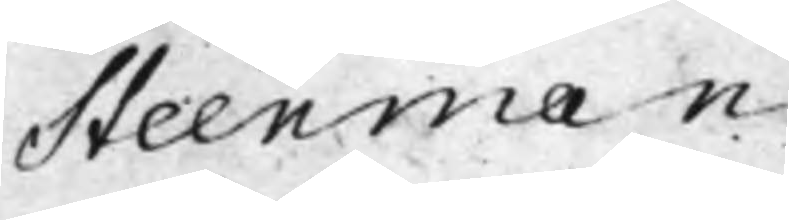Steenman.
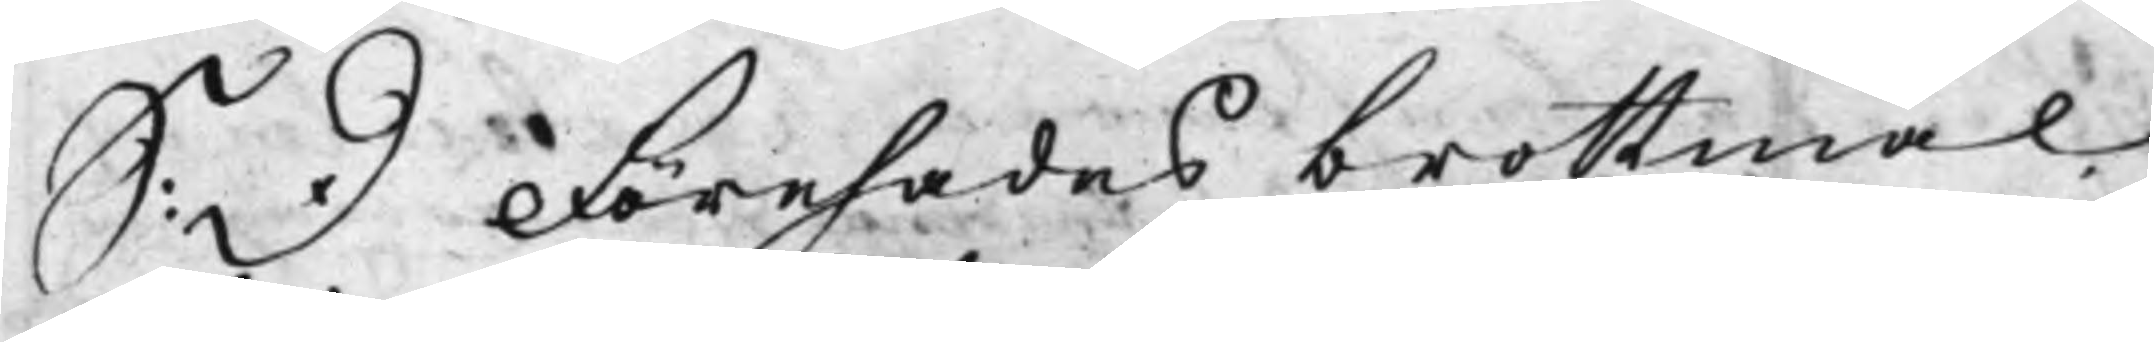S: D Förehades brottmål
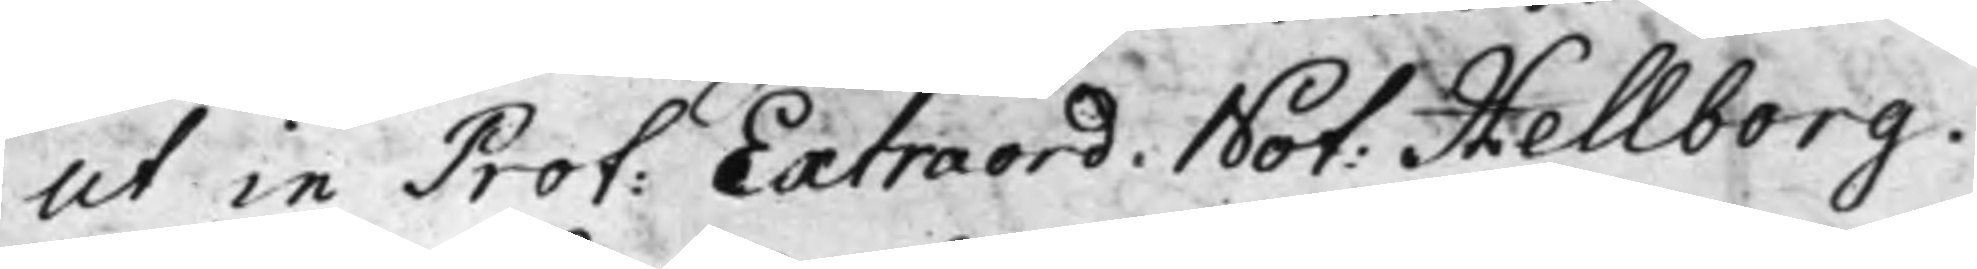ut in Prot: Extraord. Not: Hellborg.
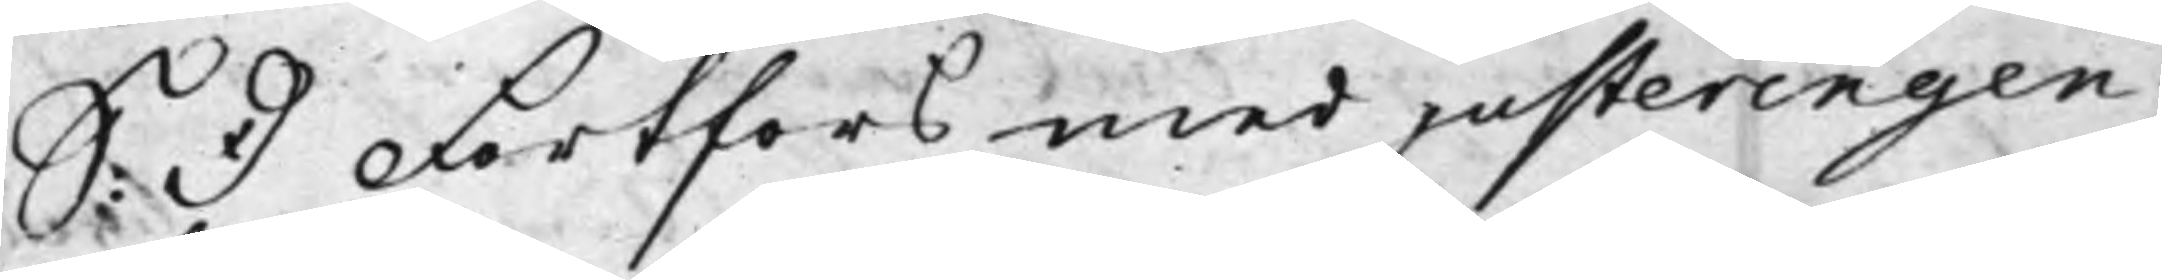S: D Fortfors med justeringen
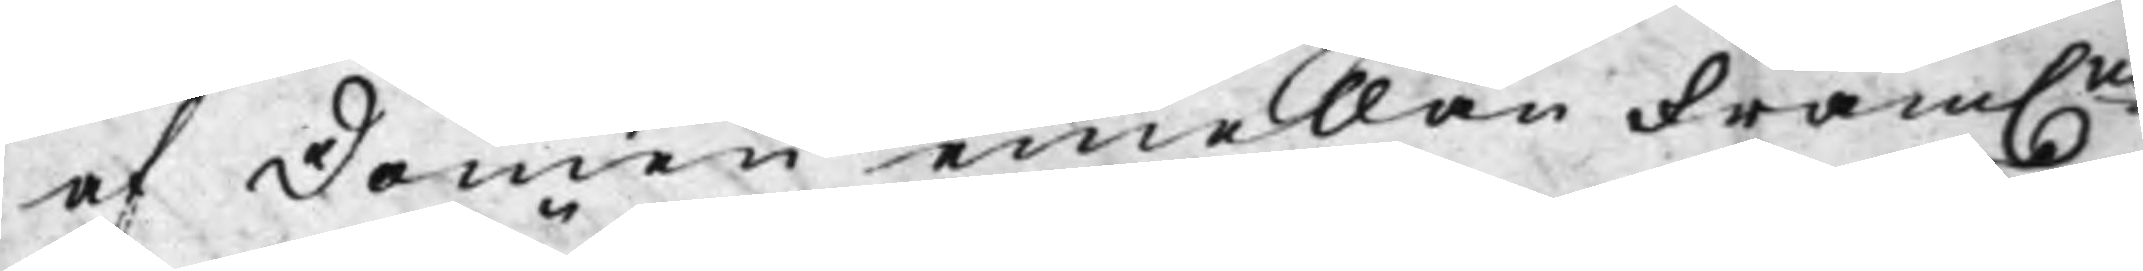af Domen emellan Fram.ne
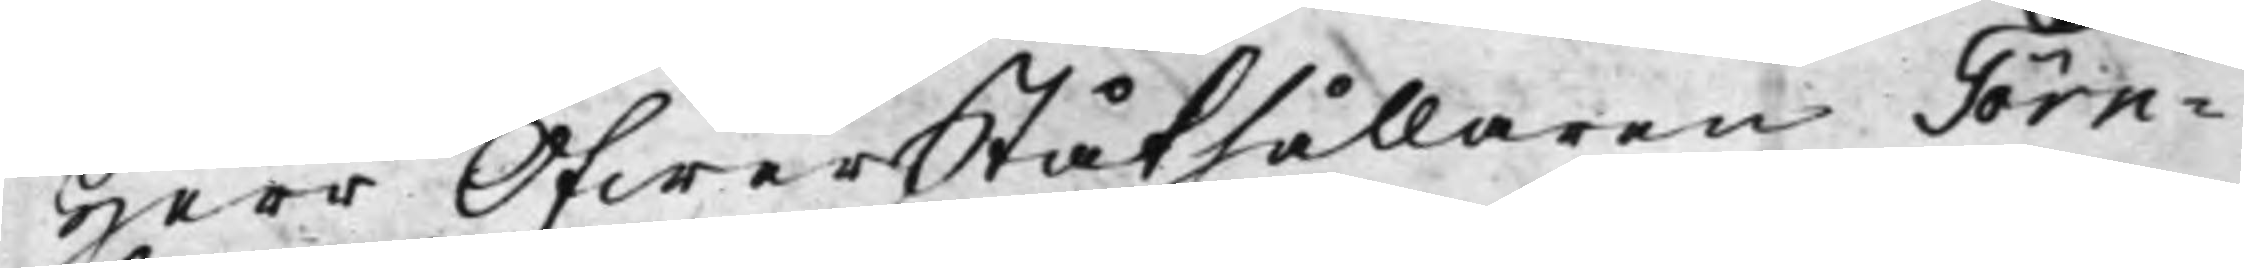Herr ÖfwerStåthållaren Törn¬
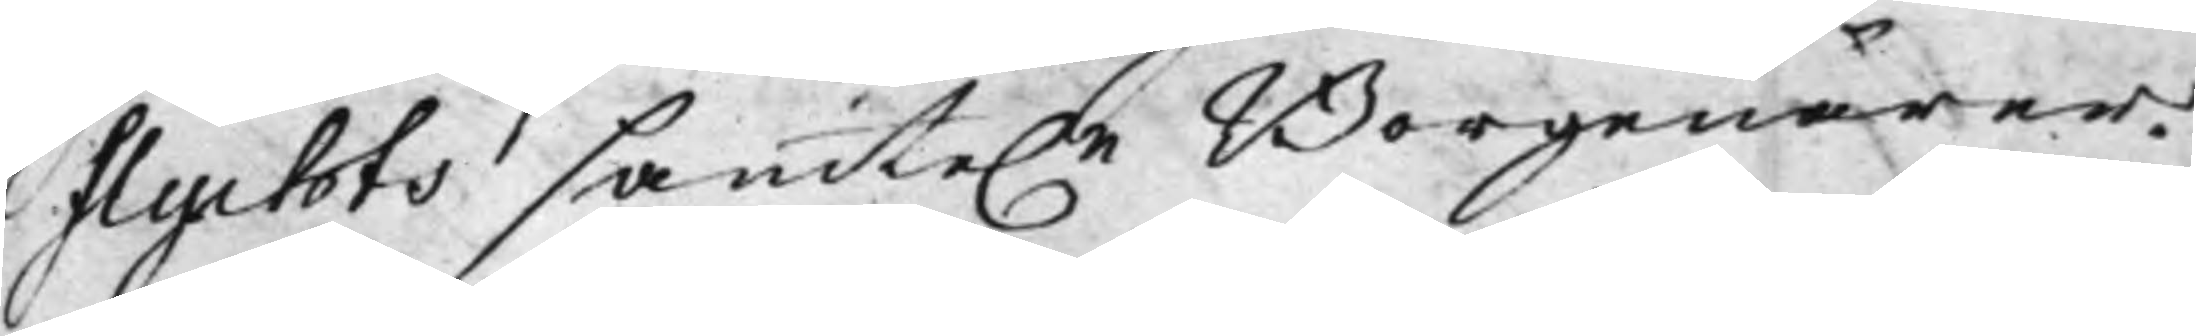flychts samte.e Borgenärer.
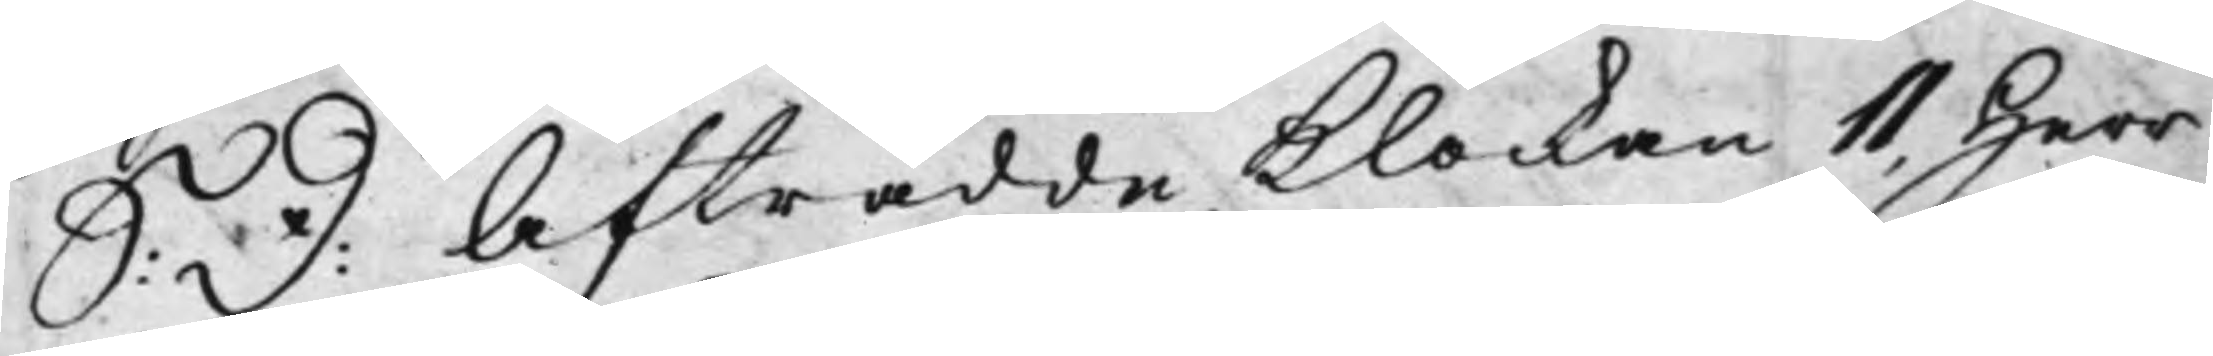S: D: Afträdde Klockan 11, Herr
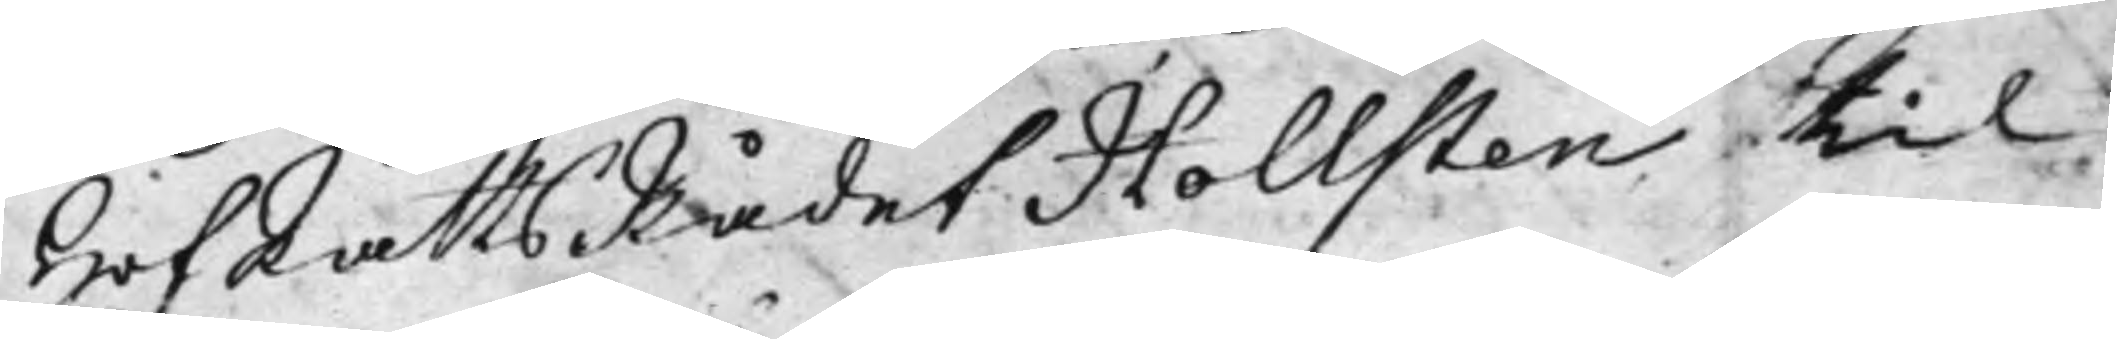HofRättsRådet Hollsten til
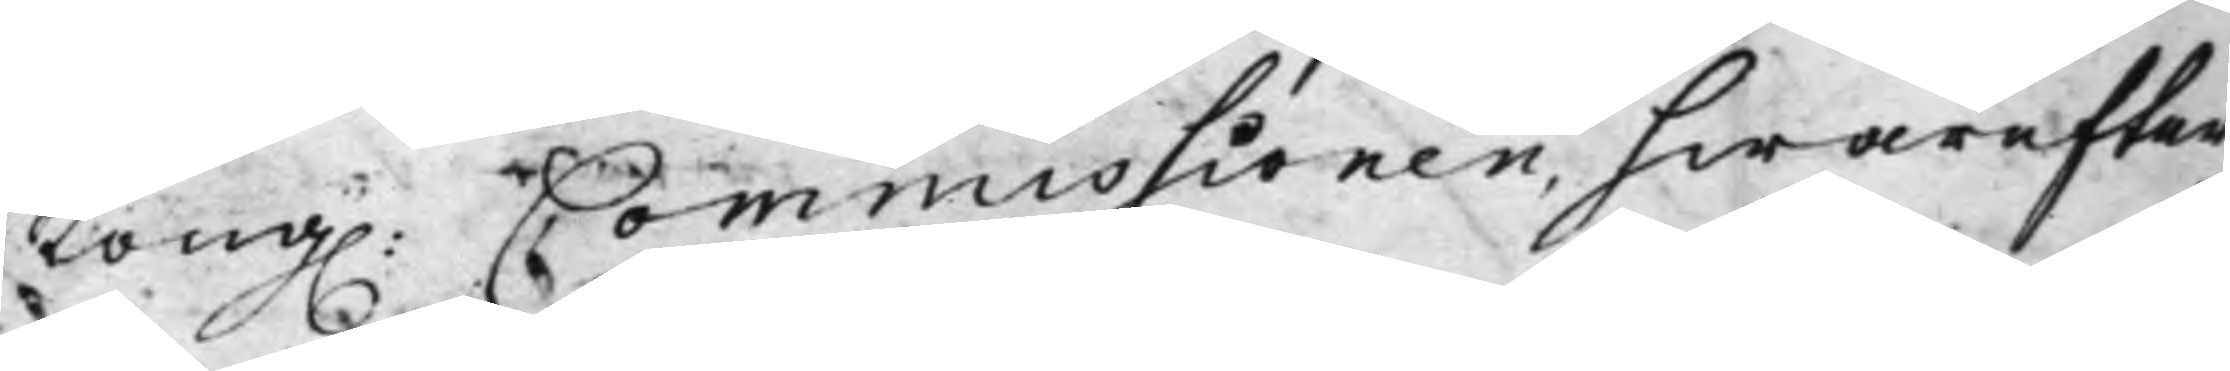Kong. Commissionen; hwarefter
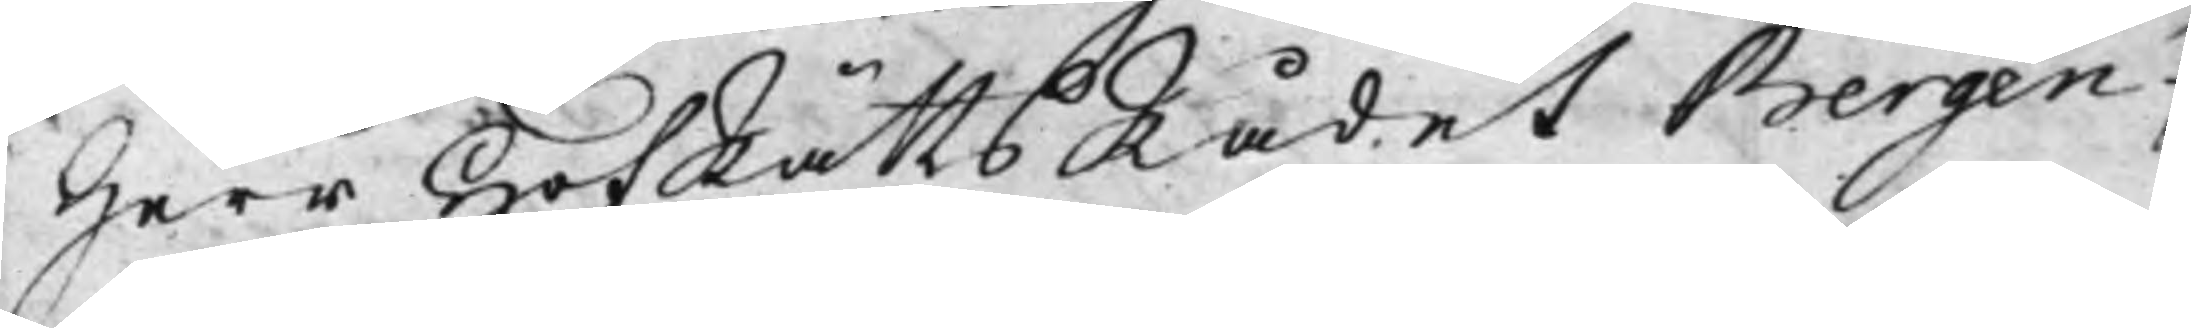Herr HofRättsRådet Bergen¬
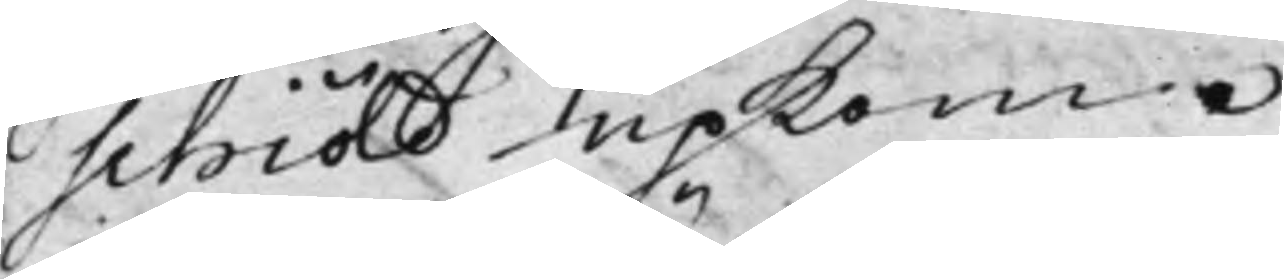schiöld upkom.
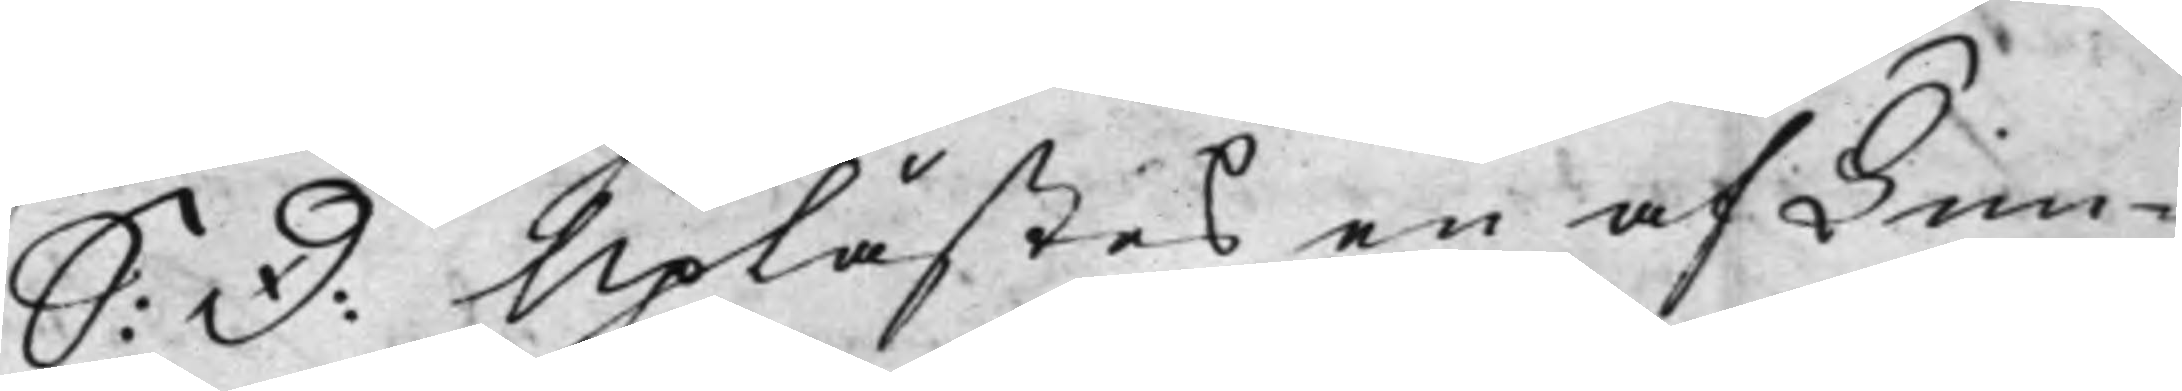S: D: Uplästes en af Tim¬
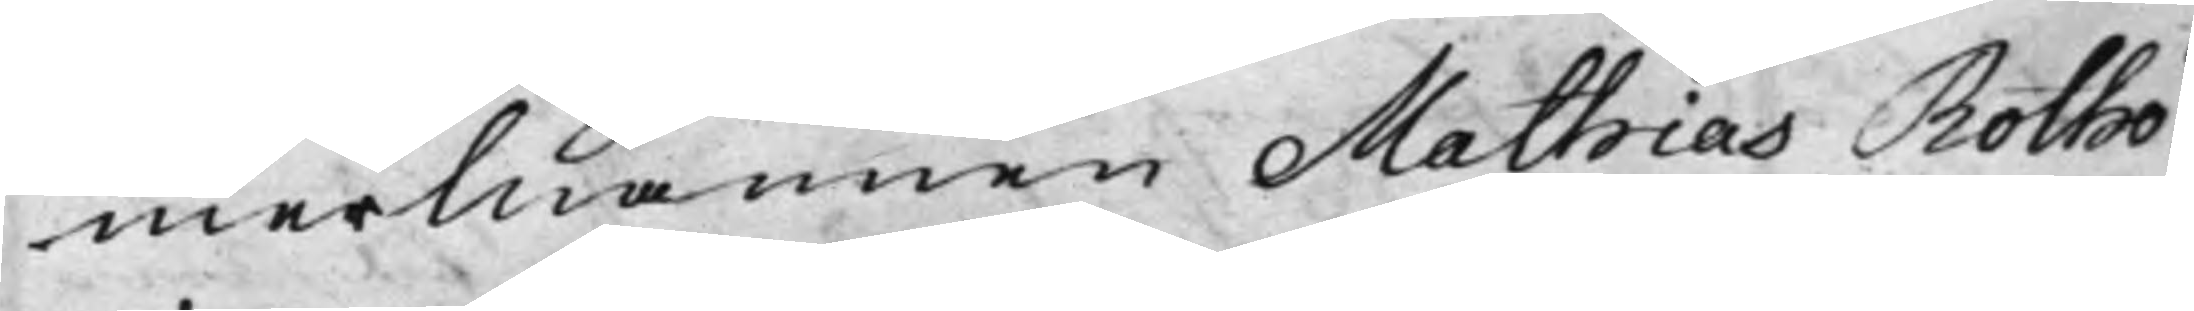mermannen Mathias Rotho¬
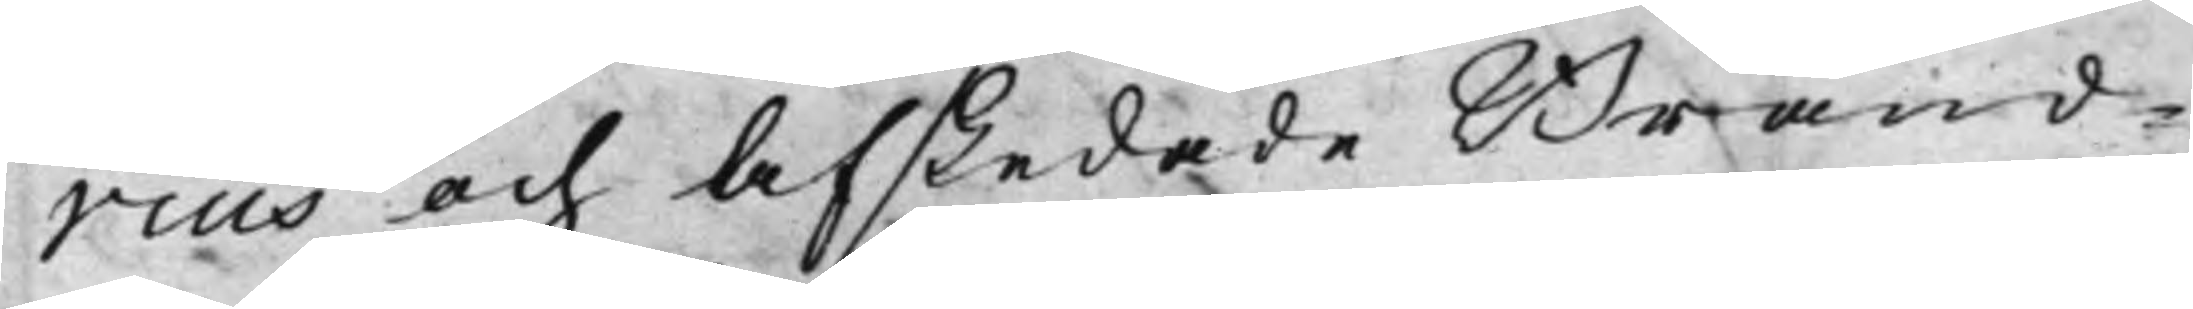vius och afskedade Brand¬
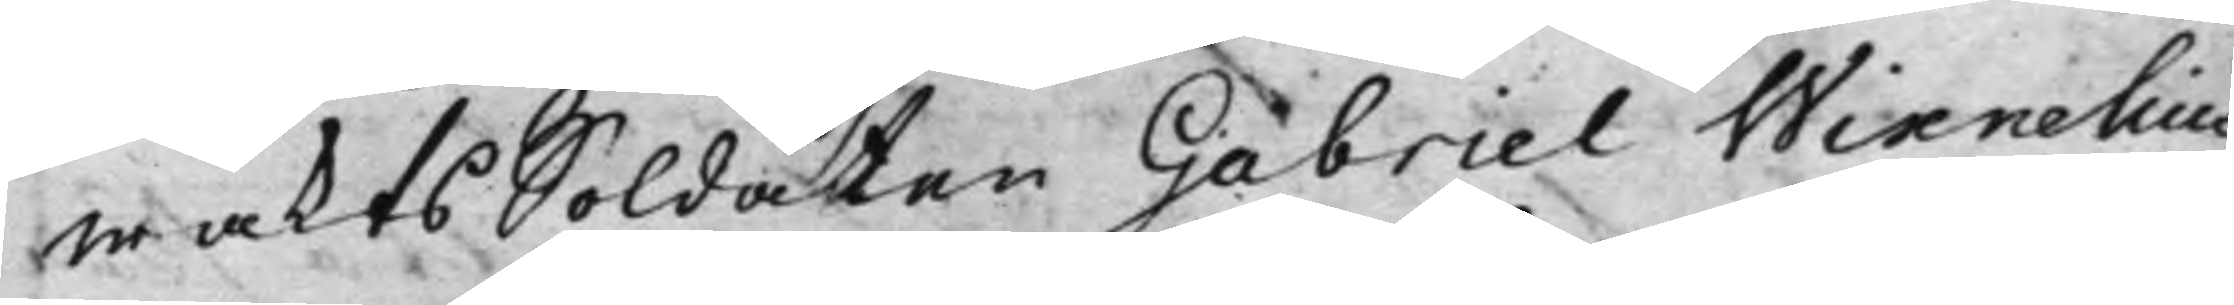waktsSoldaten Gabriel Wixnelius
